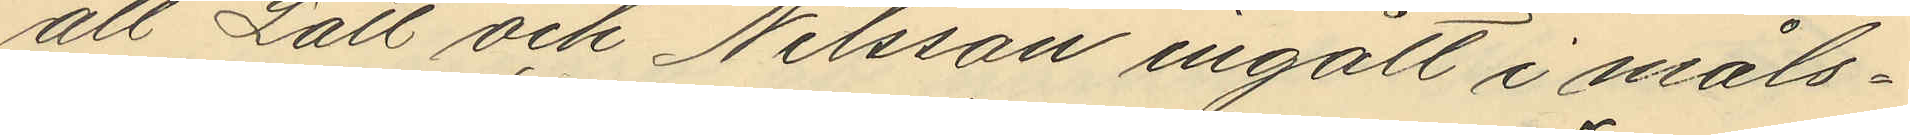att Lätt och Nilsson ingått i måls¬
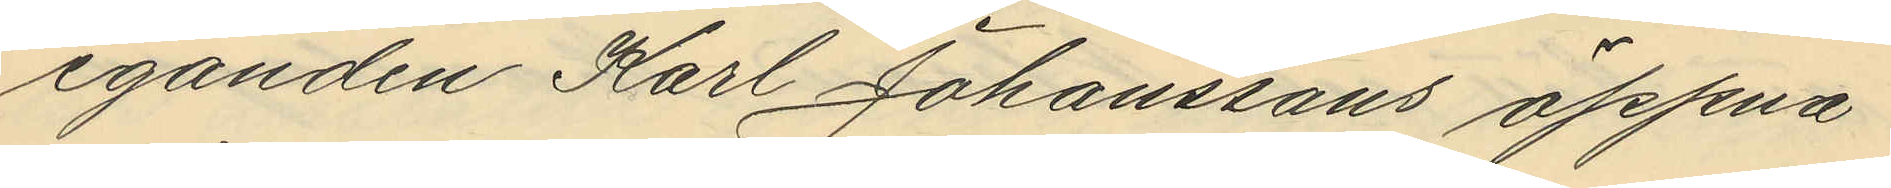eganden Karl Johanssons öppna
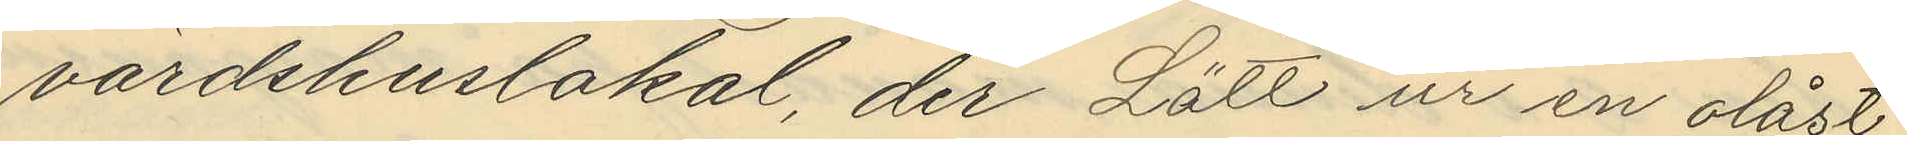värdshuslokal, der Lätt ur en olåst
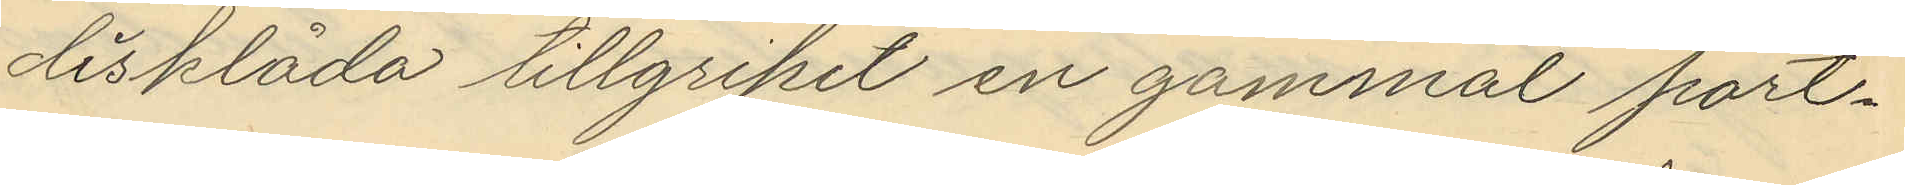disklåda tillgripit en gammal port¬
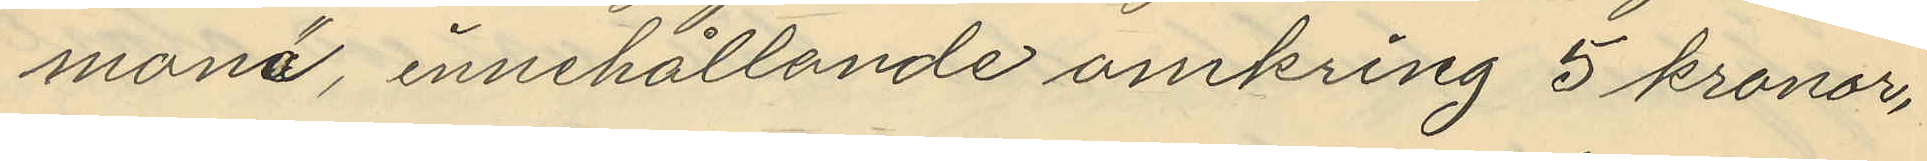mona, innehållande omkring 3 kronor,
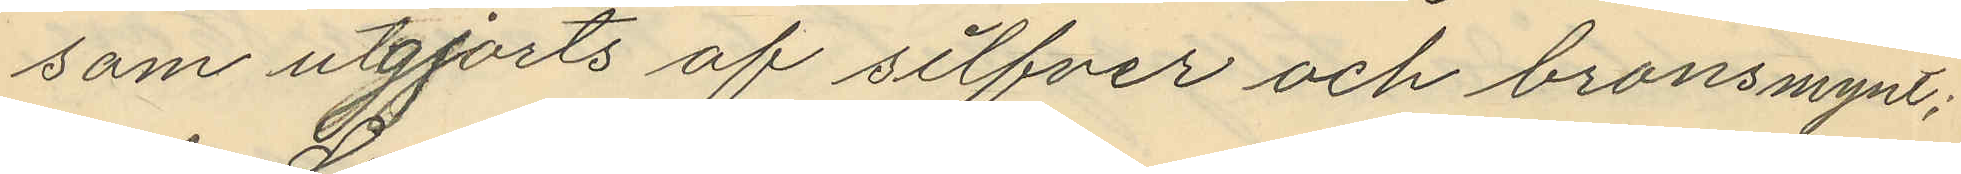som utgjorts af silfver och bronsmynt;
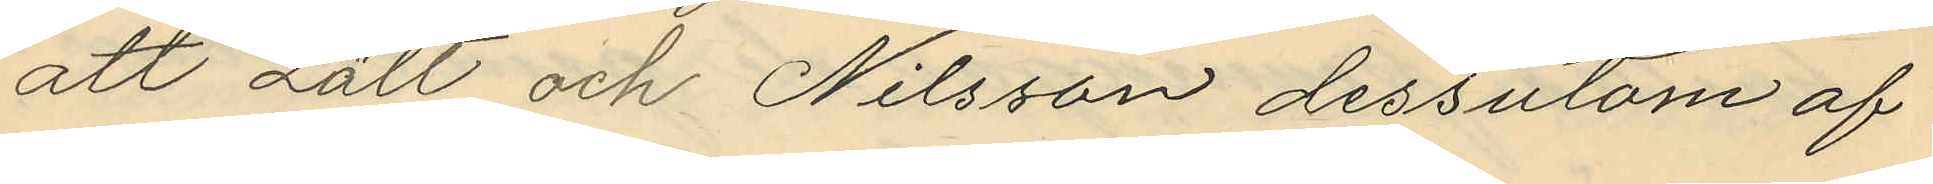att Lätt och Nilsson dessutom af
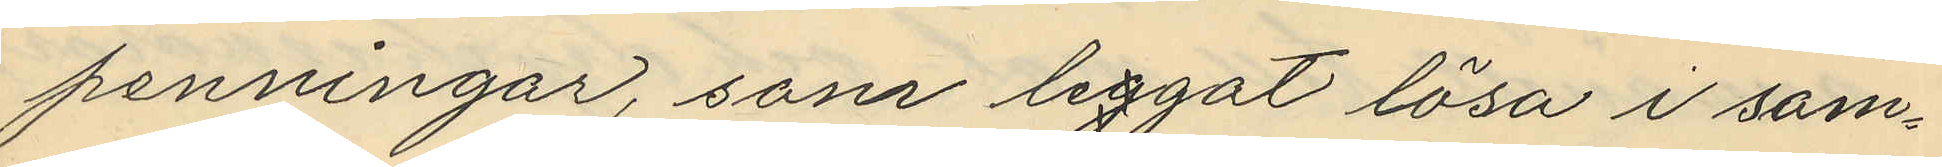penningar, som liggat lösa i sam¬
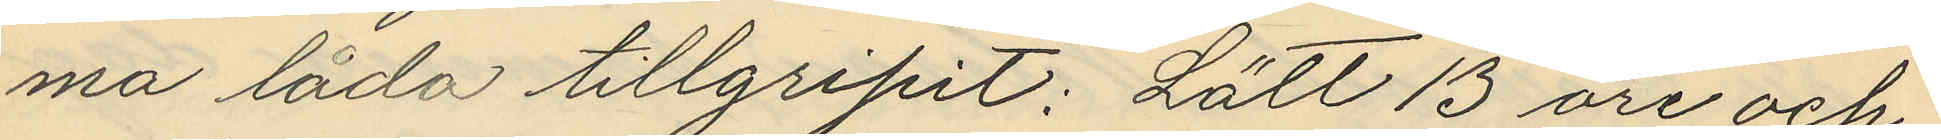ma låda tillgripit: Lätt 13 öre och
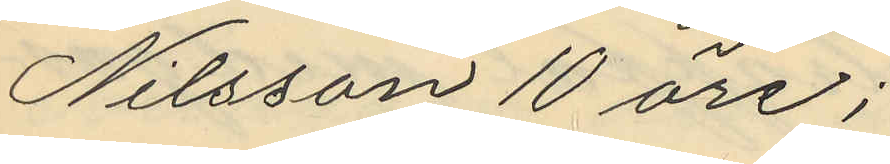Nilsson 10 öre;
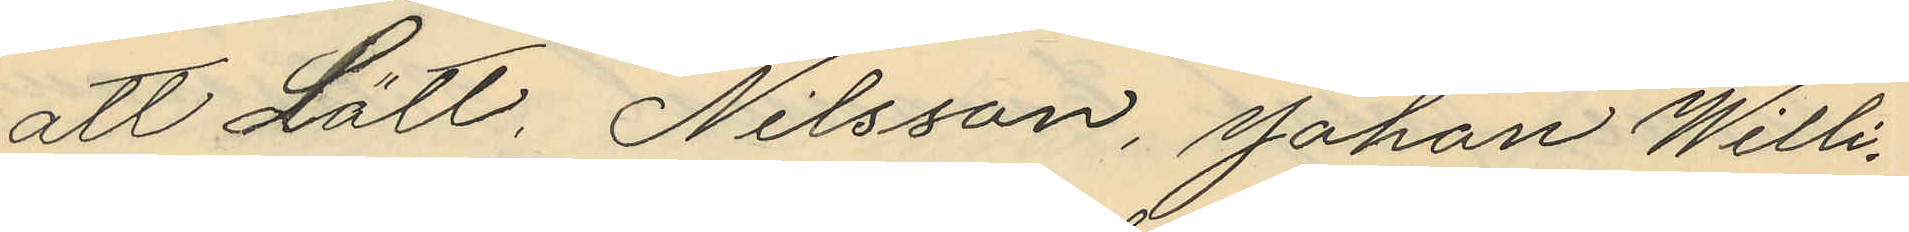att Lätt, Nilsson, Johan Willi¬
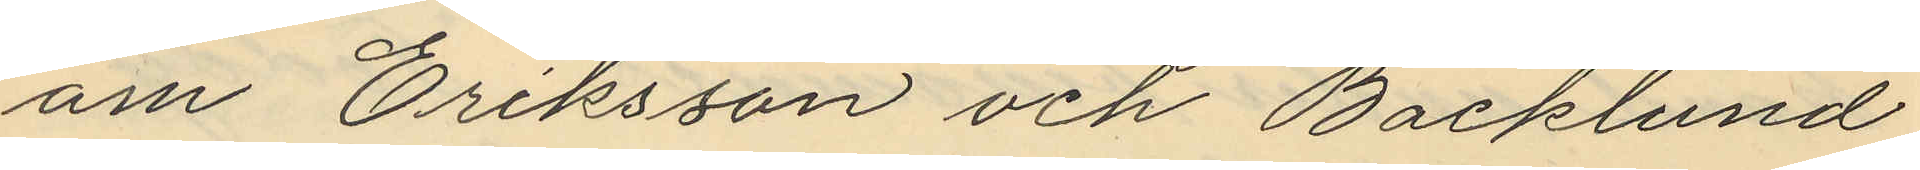am Eriksson och Backlund
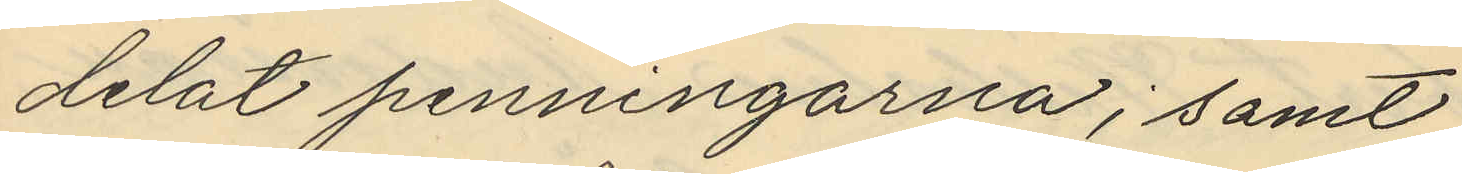delat penningarna; samt
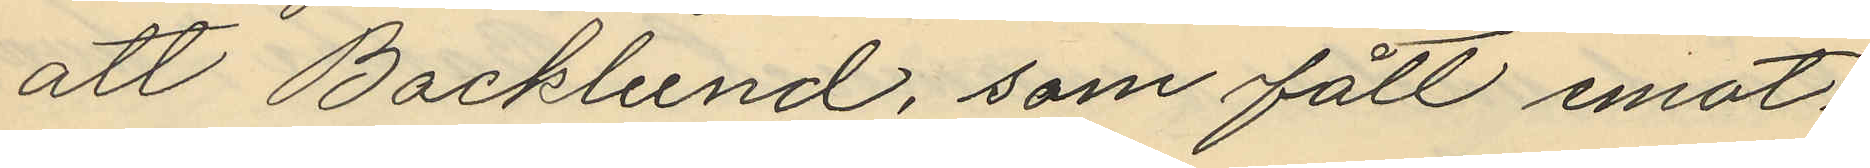att Backlund, som fått emot¬
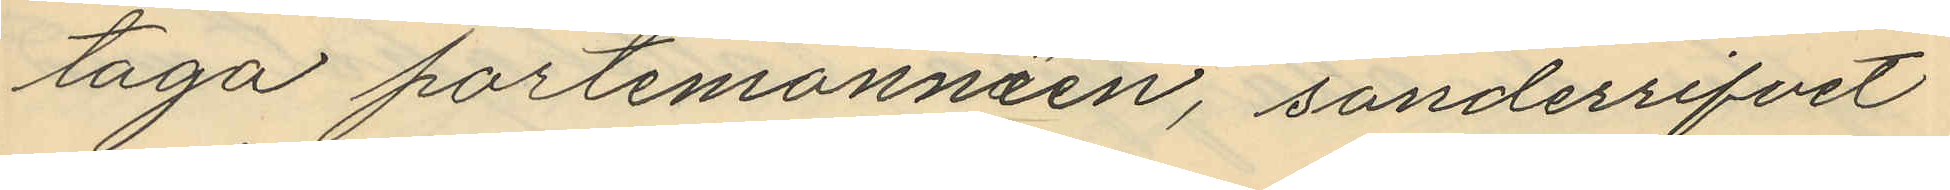taga portmonnäen, sönderrifvit
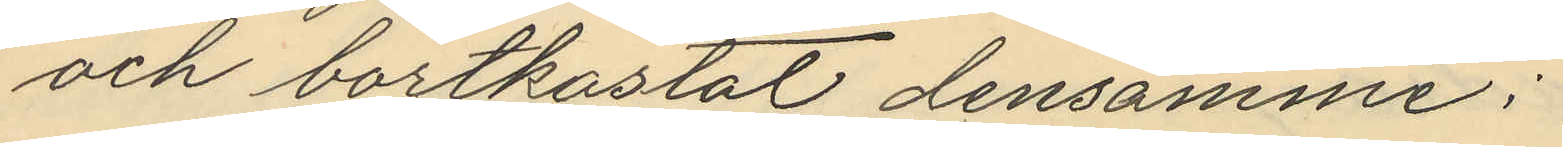och bortkastat densamme;
